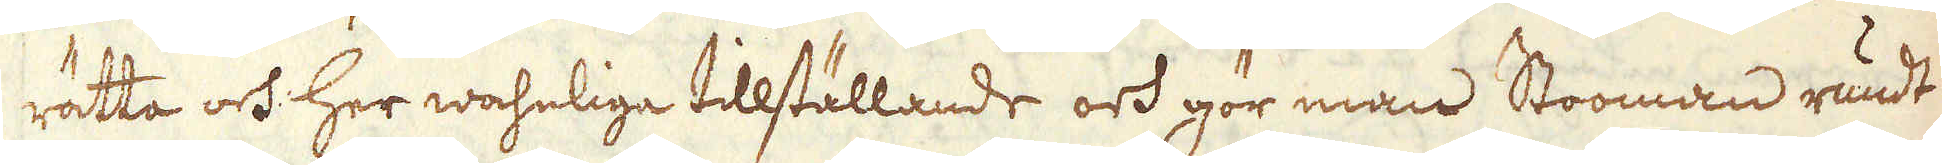rätta och her wahnliga tillställande och gör man Stooman rundt
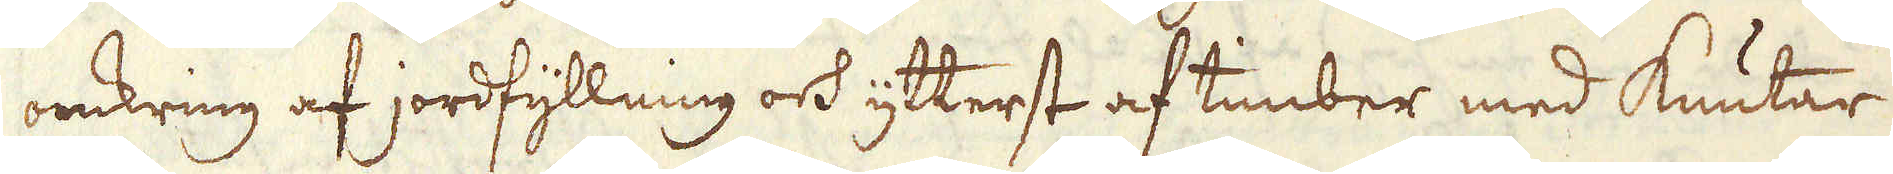omkring af jordfyllning och ytterst af timber med knutar
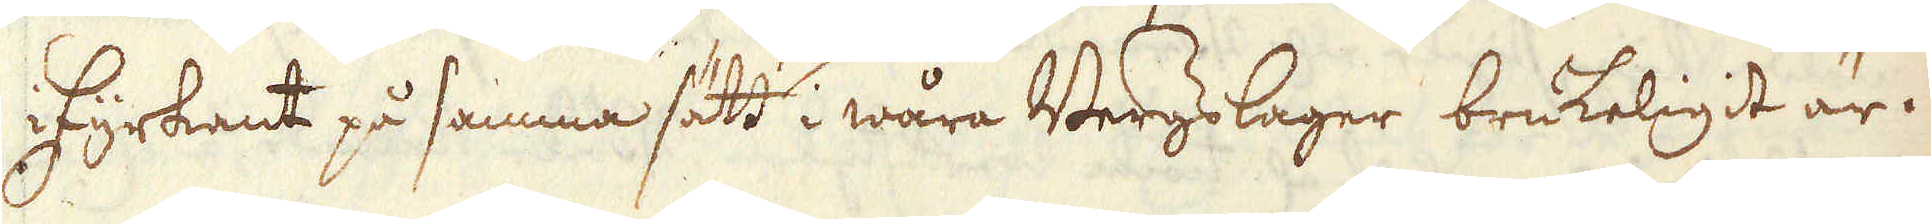i Fyrkant på samma sätt i wåra Bergslager brukeligit är.
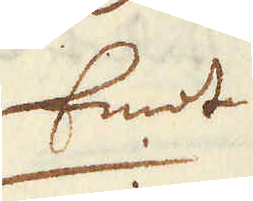Emot
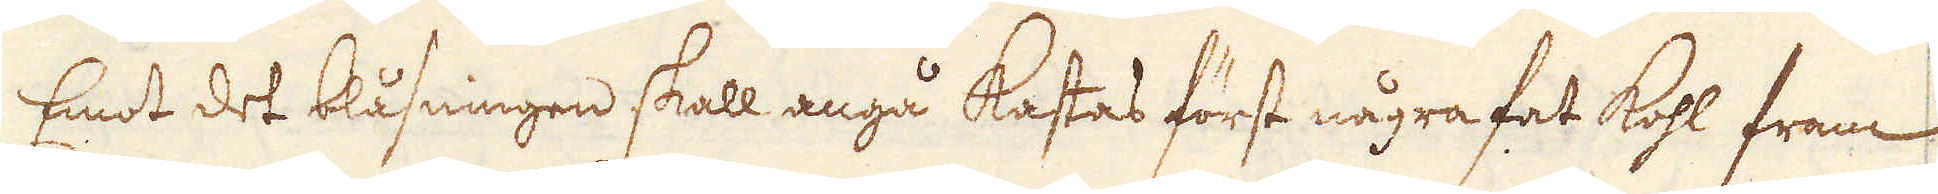Emot det blåsningen skall angå kastas först några fat kohl fram
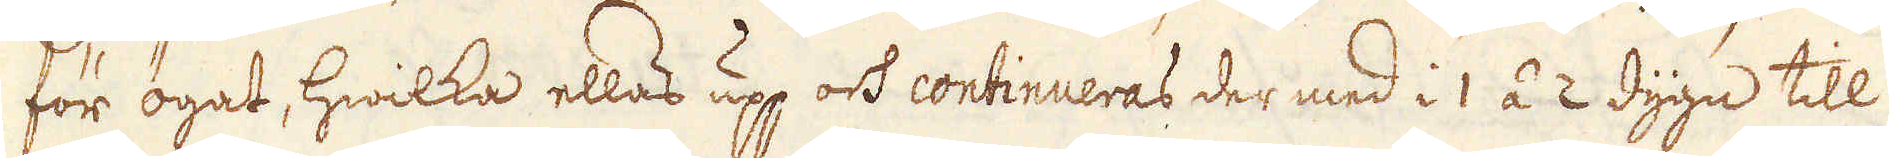för ögat, hwilka ellas upp och continueras der med i 1 á 2 dygn till
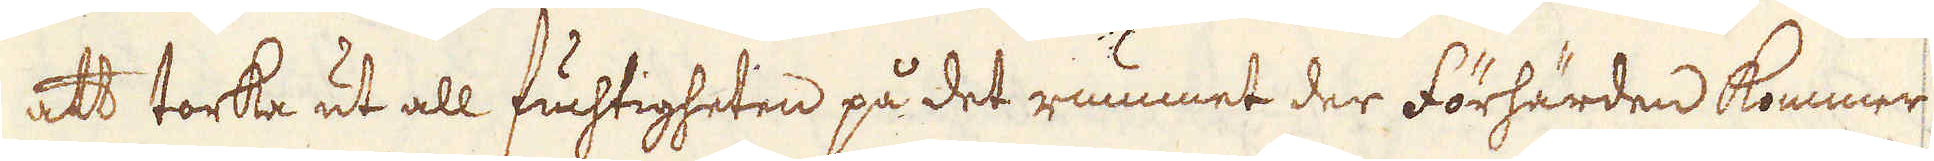att torka ut all fuchtigheten på det rummet der förhärden kommer
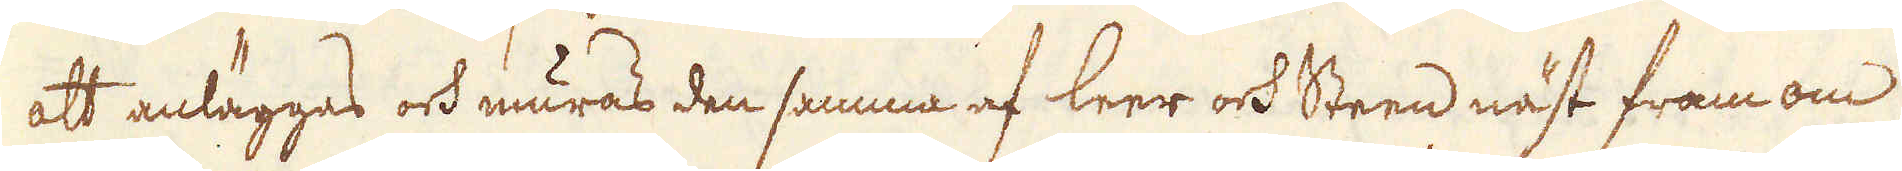att anläggas och muras den samma af leer och Steen näst fram om
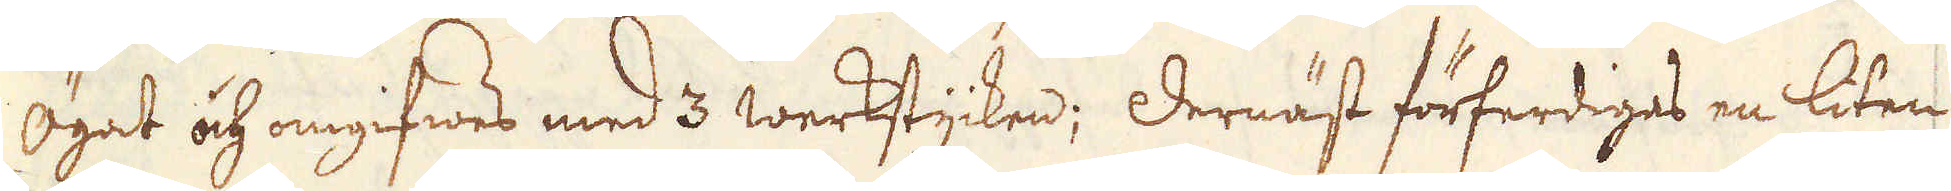Ögat och omgifwes med 3 werkstycken; Dernäst förferdiges en liten
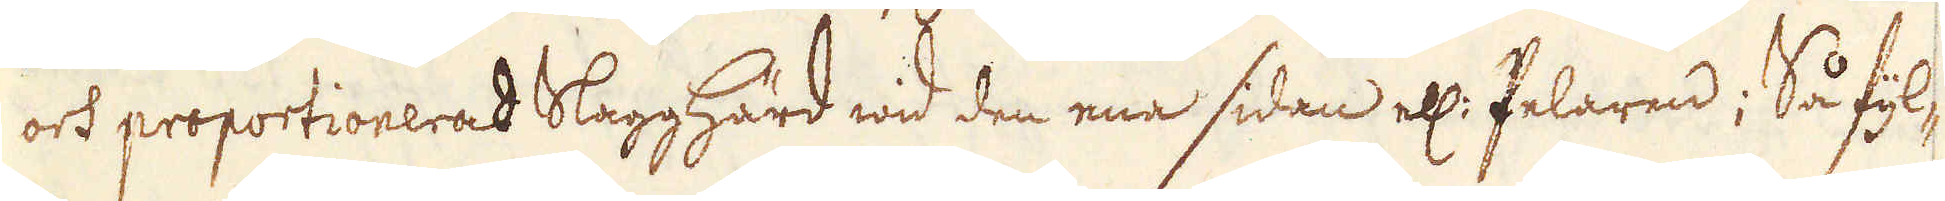och proportionerad Slagghärd wid den ena sidan ell: Pelaren; Så fyl-
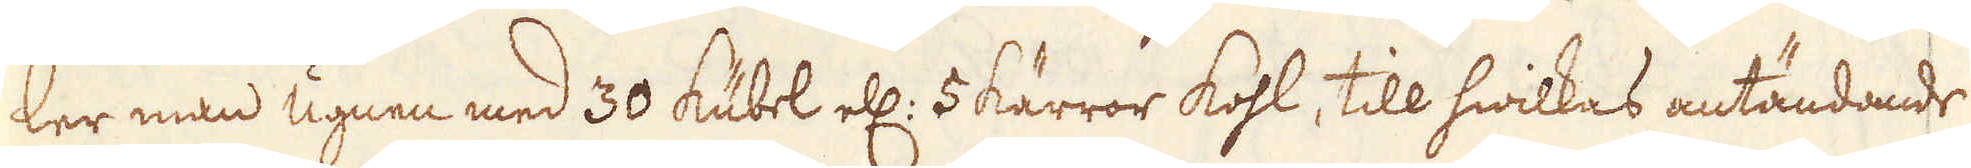ler man ugnen med 30 kubel ell: 5 kärror kohl, till hwilkas antändande
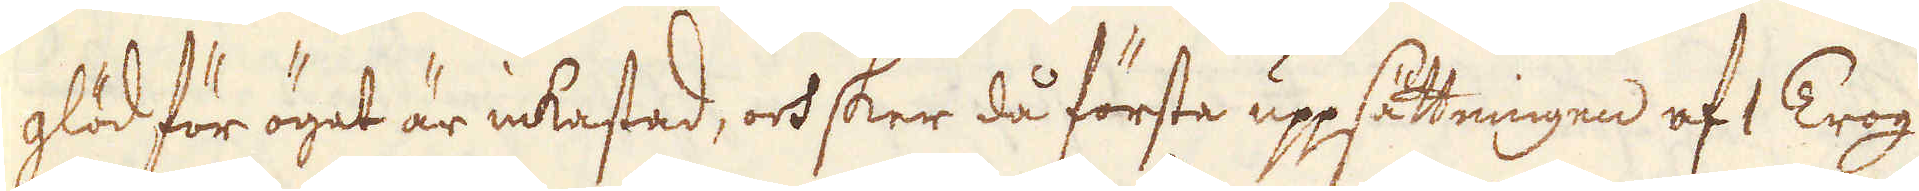glöd för ögat är inkastad, och sker då första uppsätteningen af 1 Trog
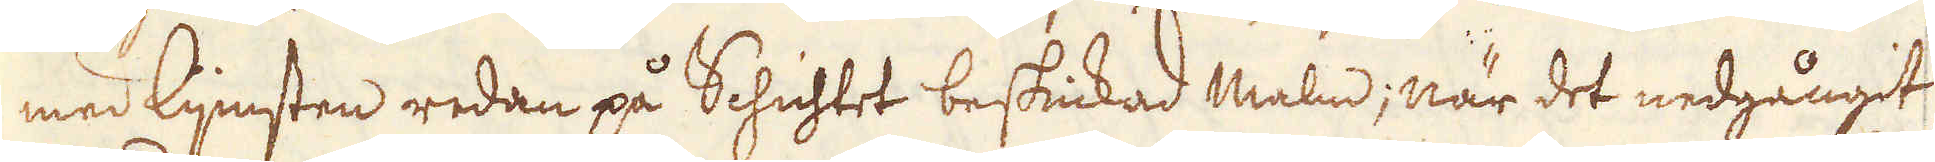med lijimsten redan på Schichtet beskickad malm; när det nedgångit
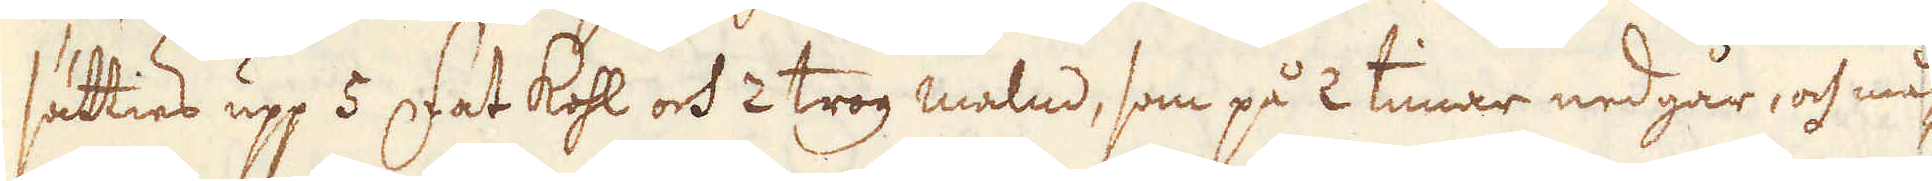sätties upp 5 Fat kohl och 2 trog malm, som på 2 timar nedgår, och må-
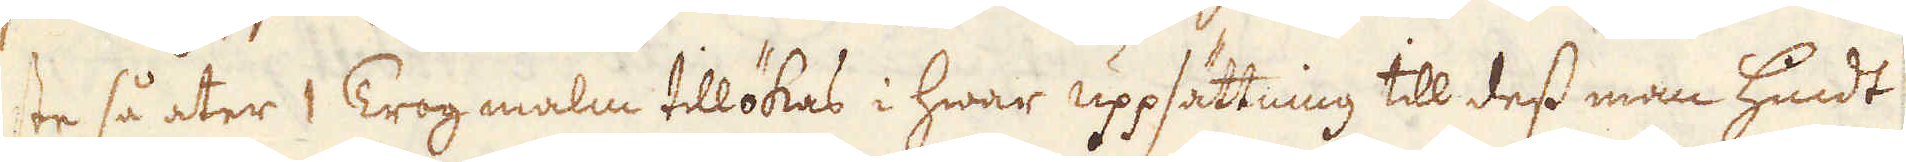ste så åter 1 Trog malm tillökas i hwar uppsättning till dess man hundt
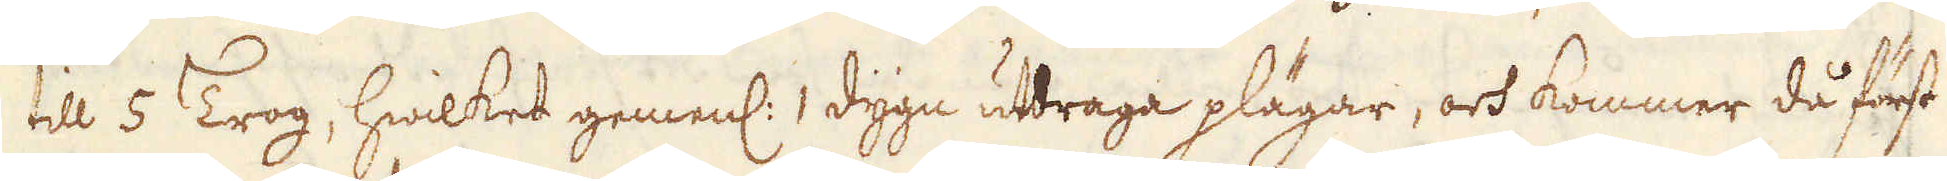till 5 Trog, hwilket gemenl: 1 dygn utdraga plägar, och kommer då först
